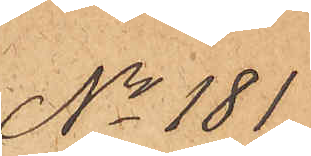No 101
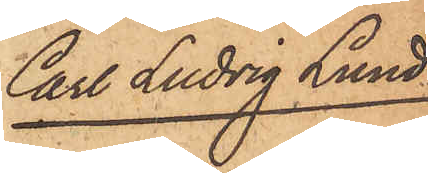Carl Ludvig Lund¬
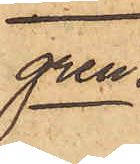gren.
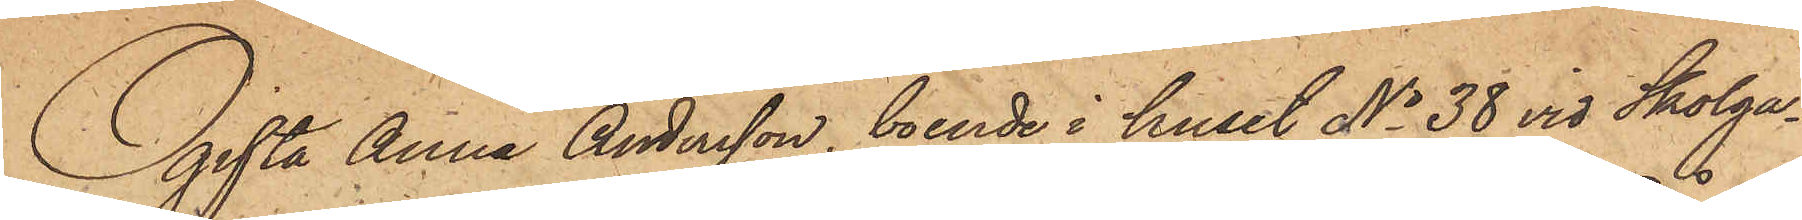Ogifta Anna Andersson, boende i huset No 38 vid Skolga¬
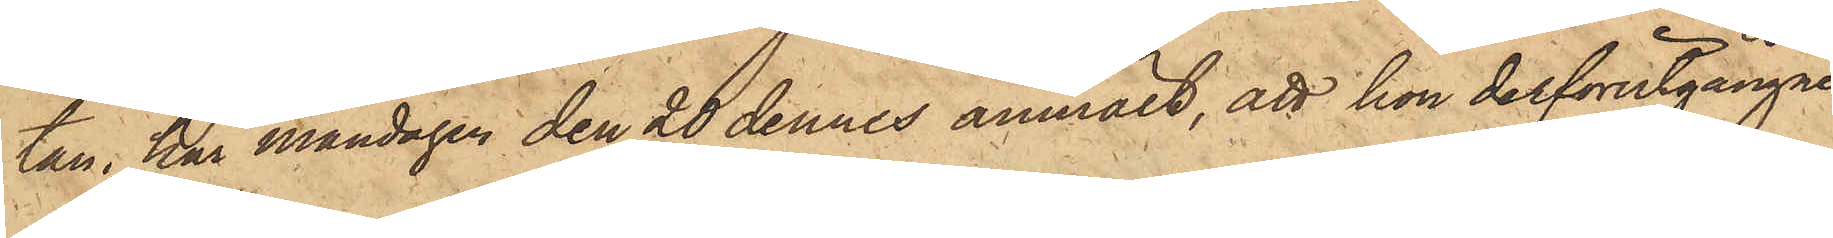tan, har Måndagen den 20 dennes anmält, att hon derförutgångne
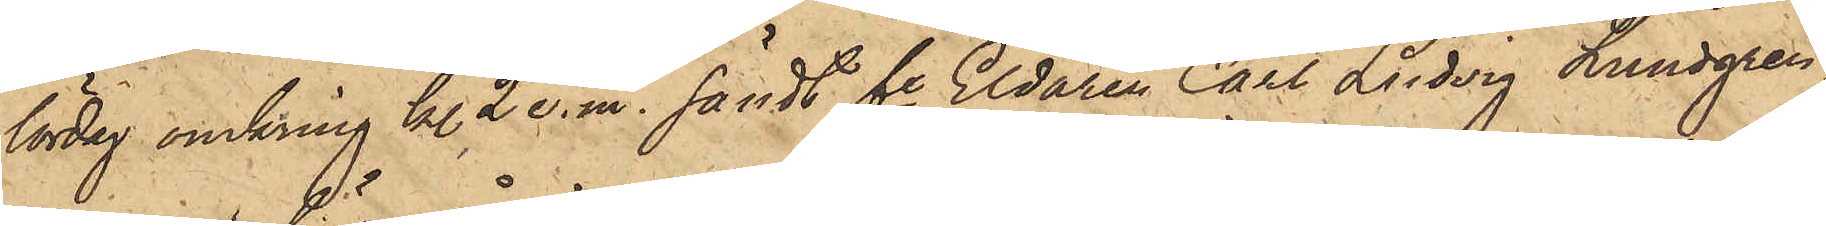lördag omkring kl. 2 e. m. sändt fre Eldaren Carl Ludvig Lundgren,
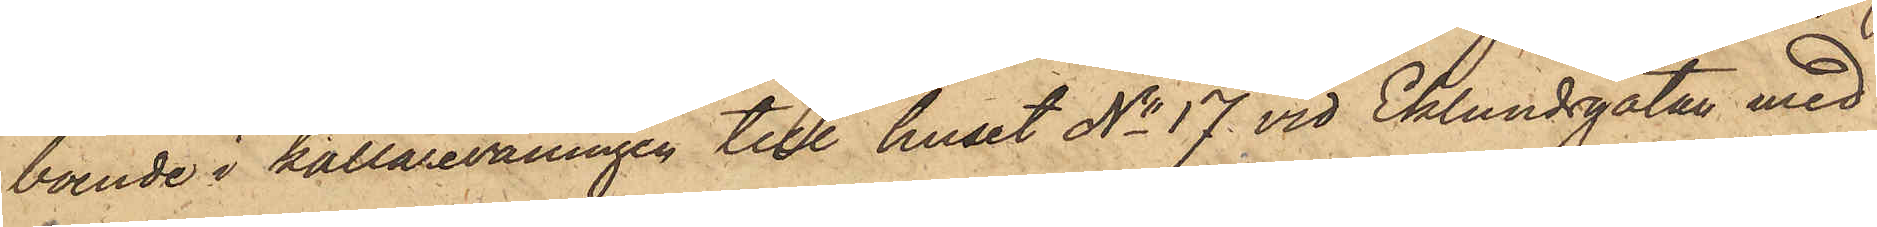boende i källarevåningen till huset No 17 vid Eklundsgatan med
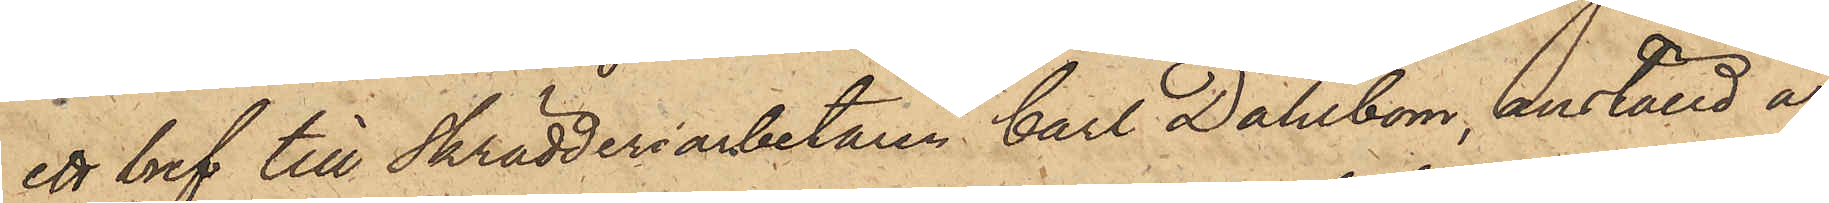ett bref till Skrädderiarbetaren Carl Dahlbom, anställd å
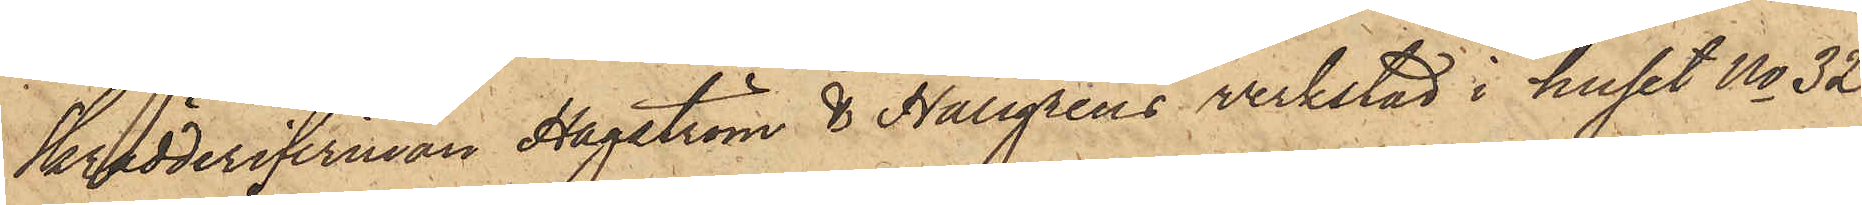Skrädderifirman Hagström & Hallgrens verkstad i huset No 32
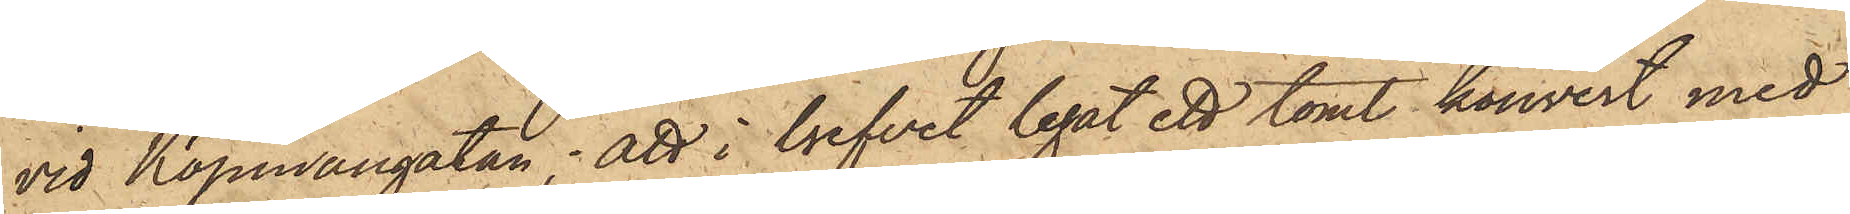vid Köpmangatan; att i brefvet legat ett tomt kouvert med
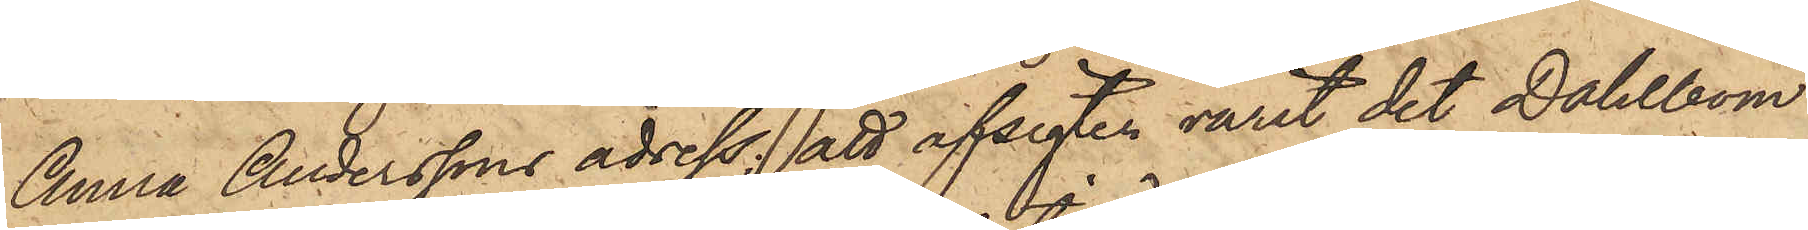Anna Anderssons adress; att afsigten varit det Dahlbom
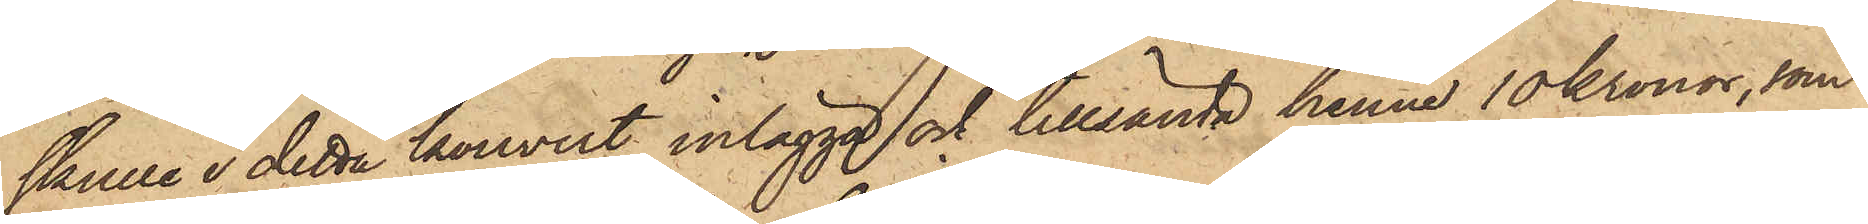skulle i detta kouvert inlägga och tillsända henne 10 Kronor, som
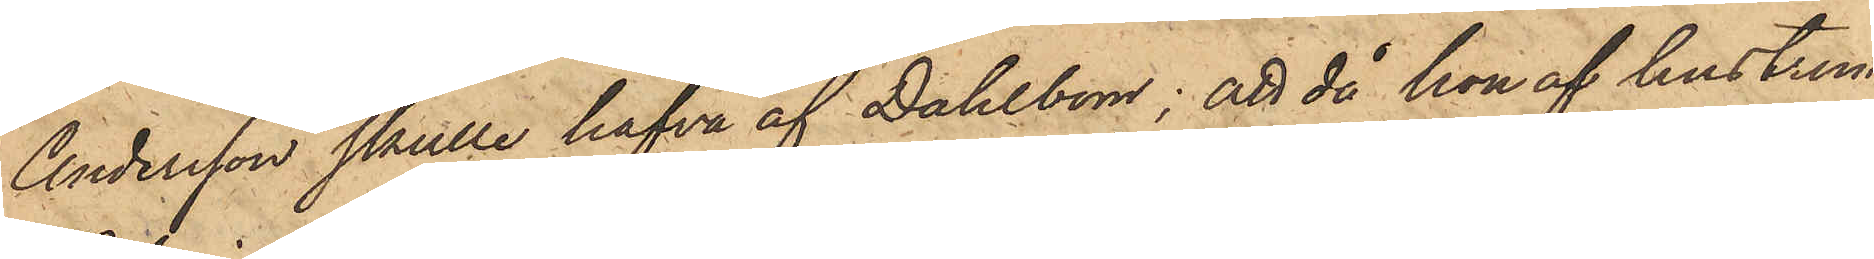Andersson skulle hafva af Dahlbom; att då hon af hustrun
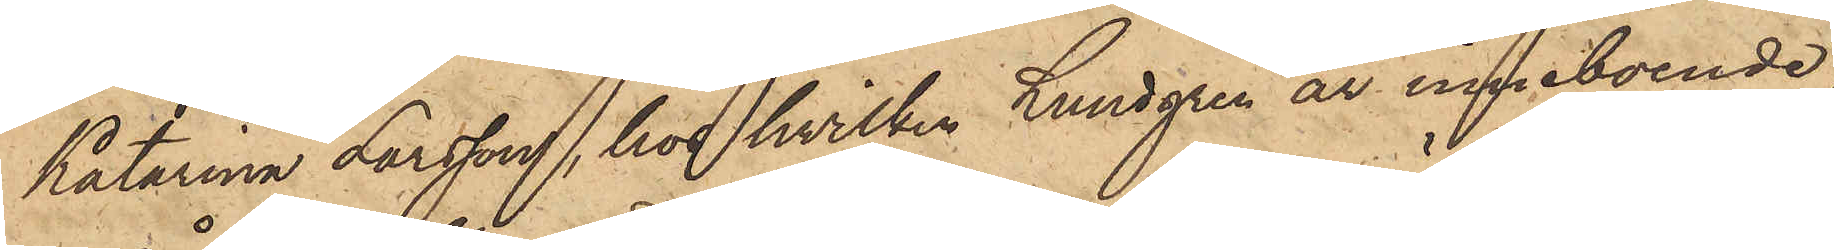Katarina Larsson, hos hvilken Lundgren är inneboende,
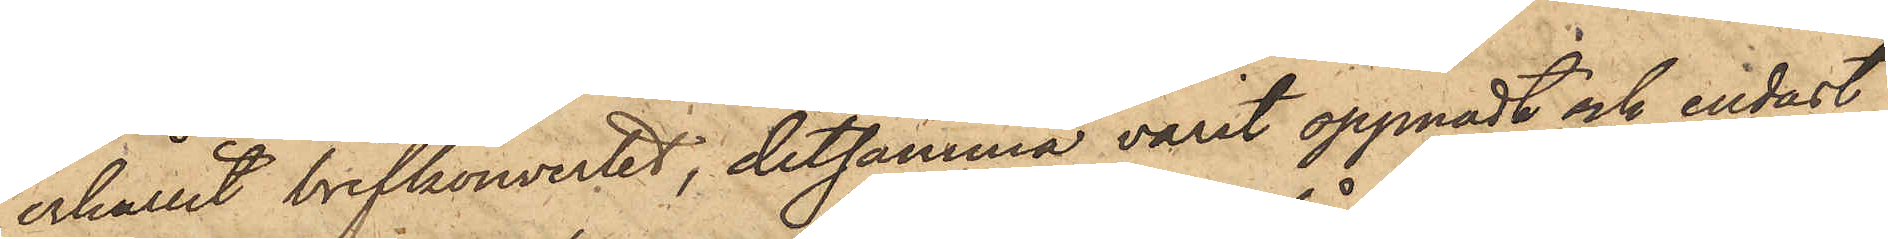erhållit brefkouvertet, detsamma varit öppnadt och endast
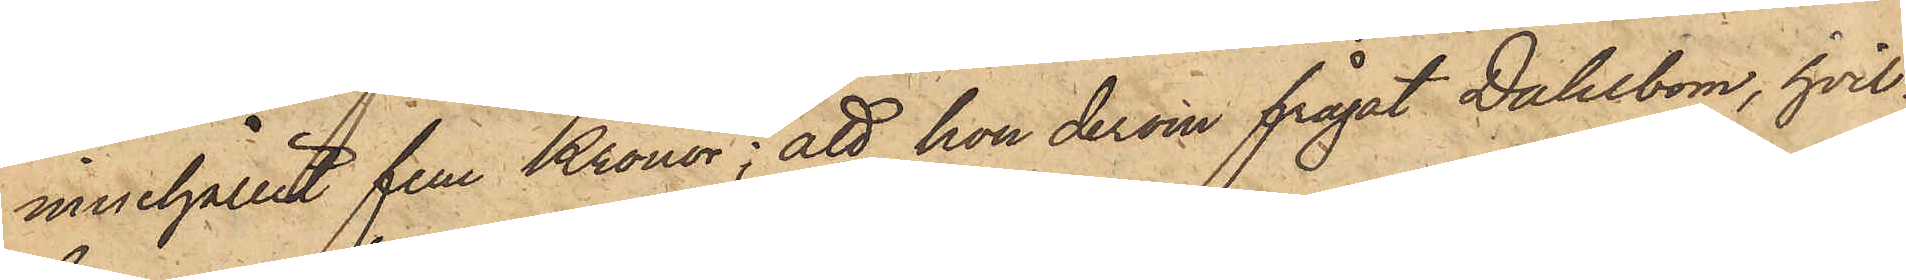innehållit fem Kronor; att hon derom frågat Dahlbom, hvil¬
